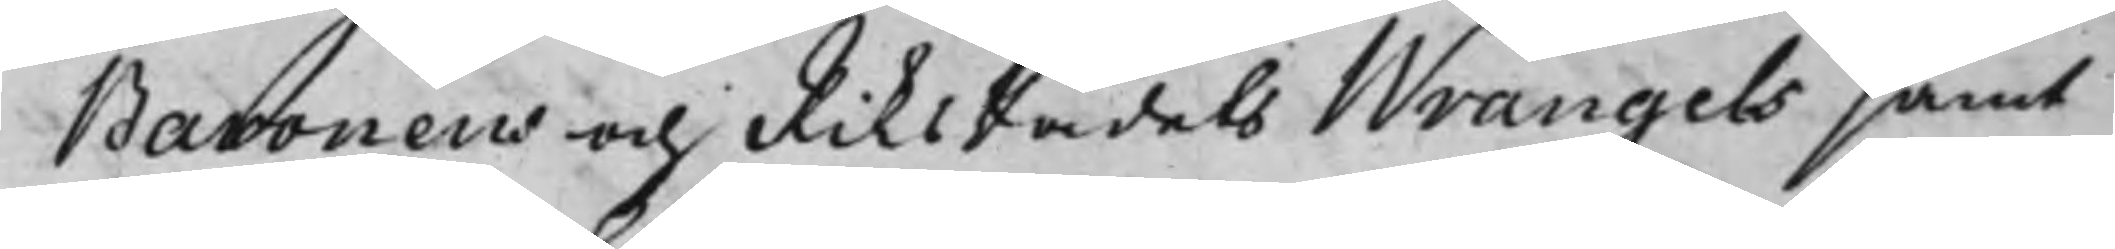Baronens och RiksRådets Wrangels samt
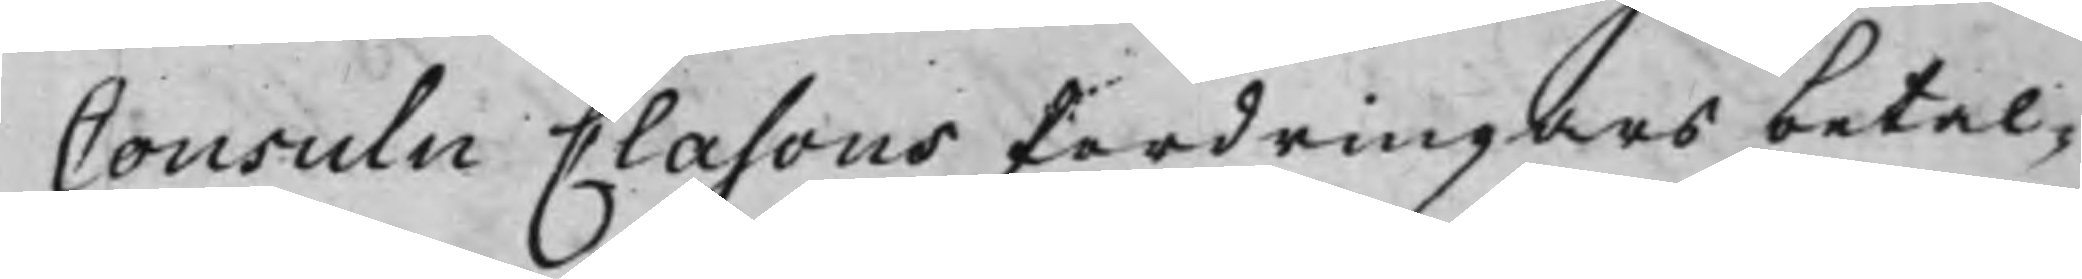Consuln Clasons fordringars betal¬
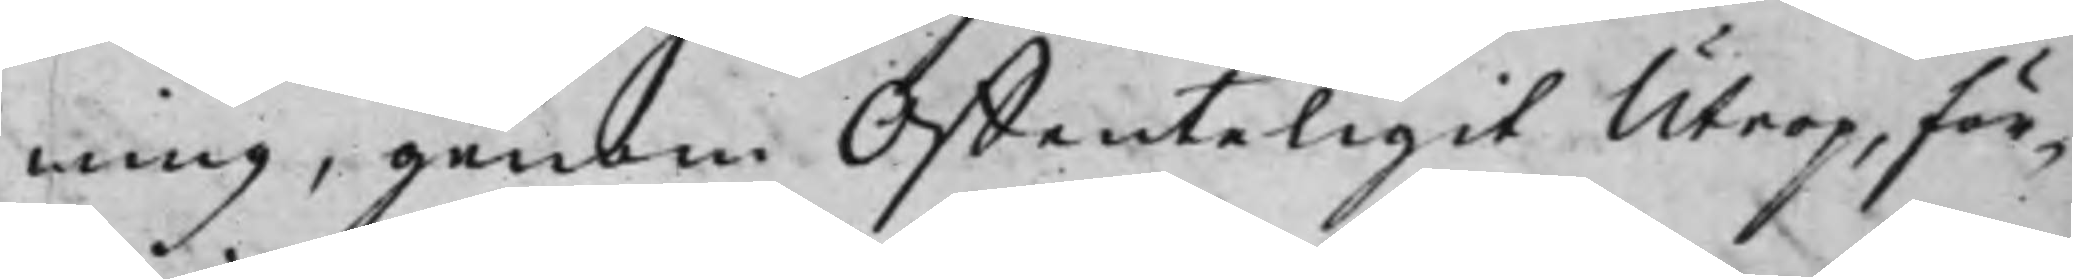ning, genom Offenteligit Utrop, för¬
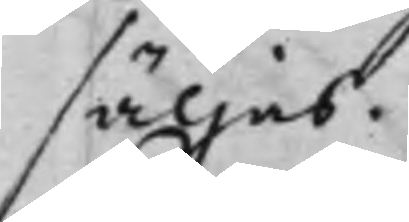säljas.
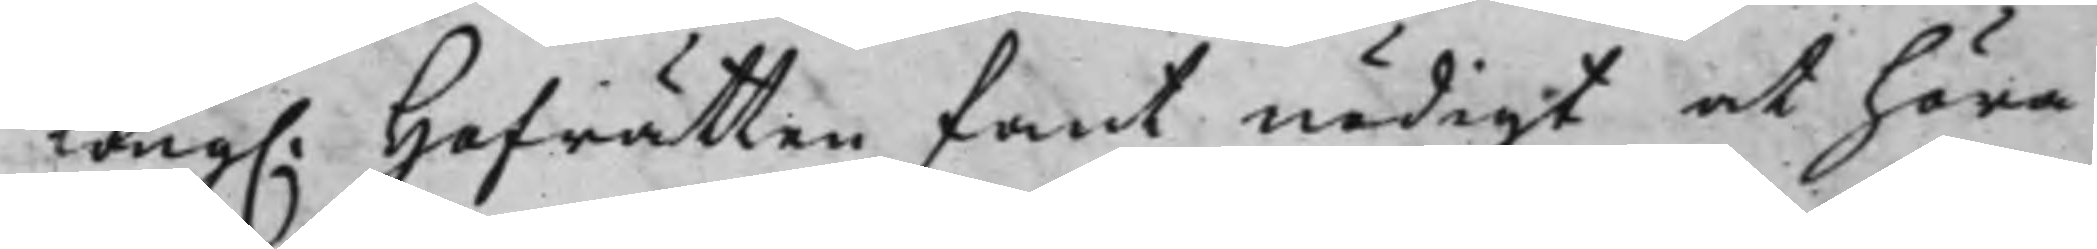Kong. Hofrätten fant nödigt at höra
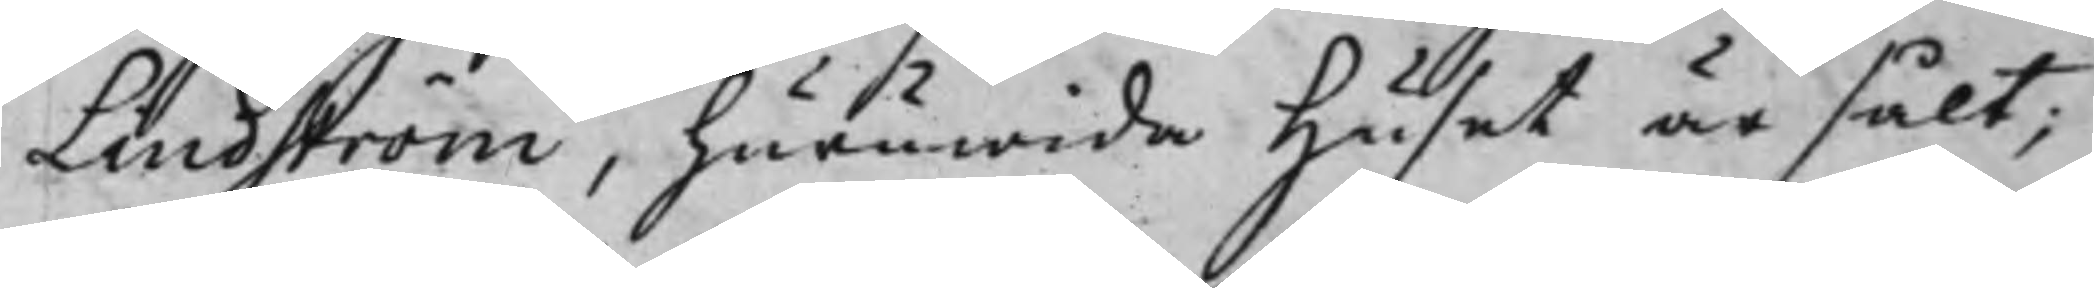Lindström, huruwida Huset är sålt,
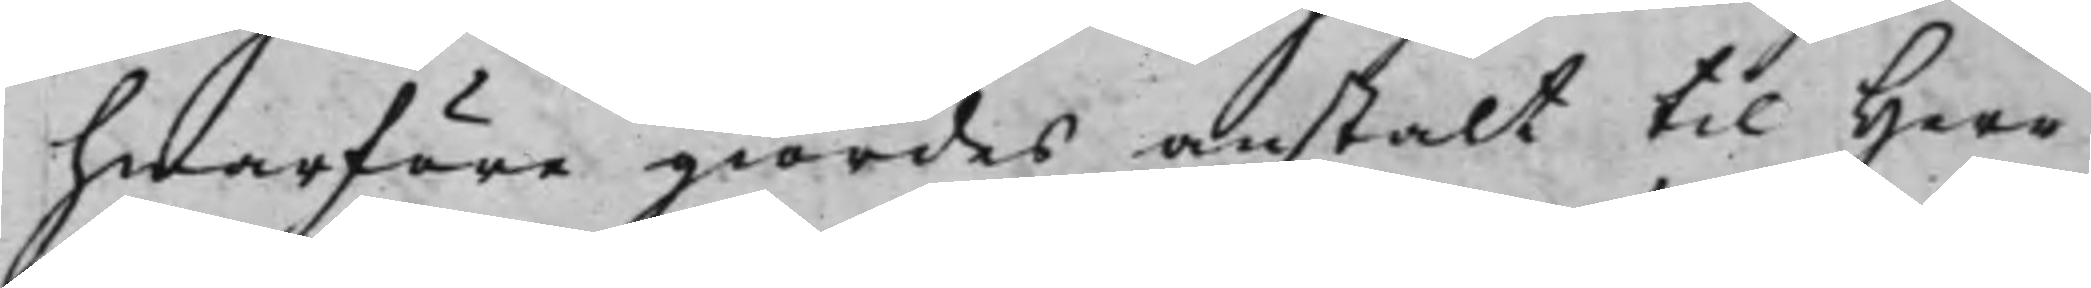hwarföre giordes anstalt til Herr
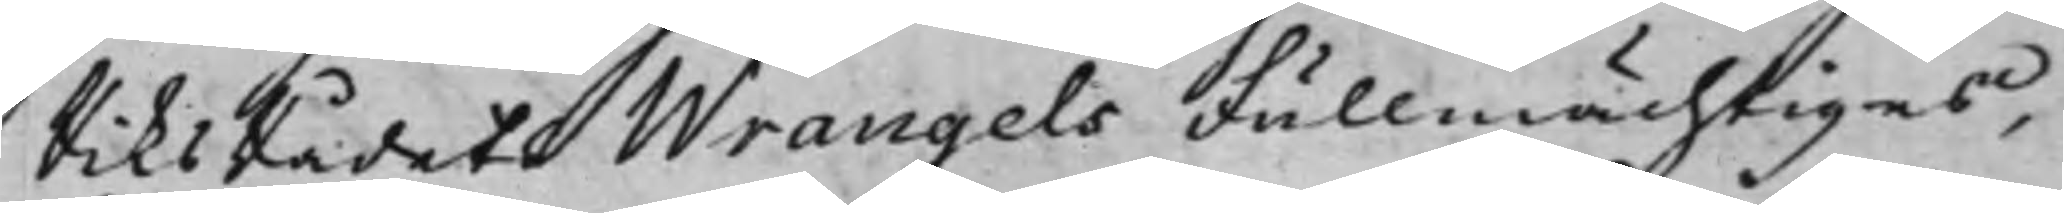RiksRådets Wrangels Fullmächtiges,
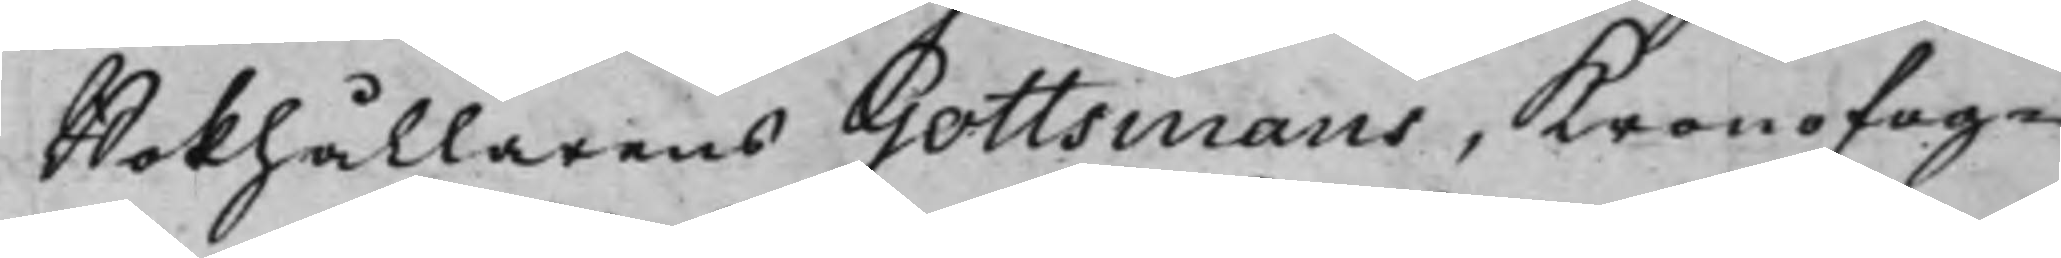Bokhållarens Gottsmans, Kronofog¬
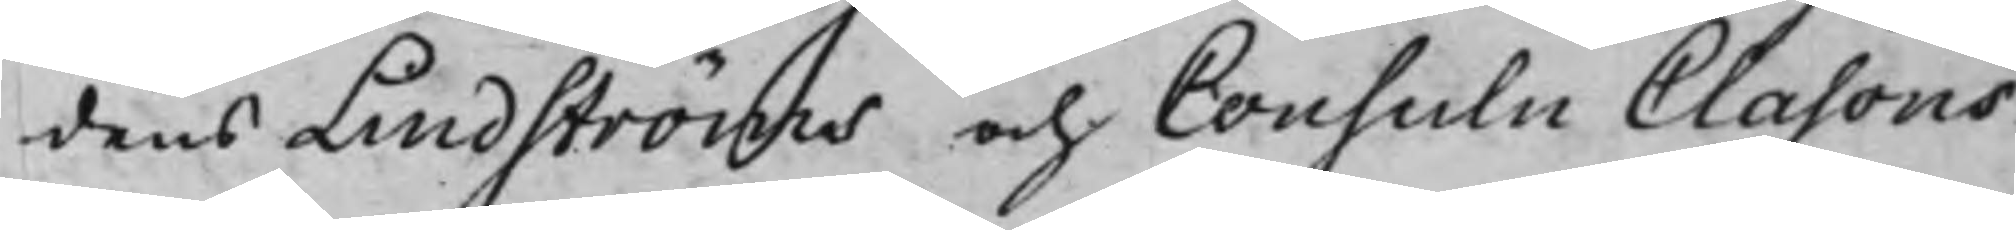dens Lindströms och Consuln Clasons
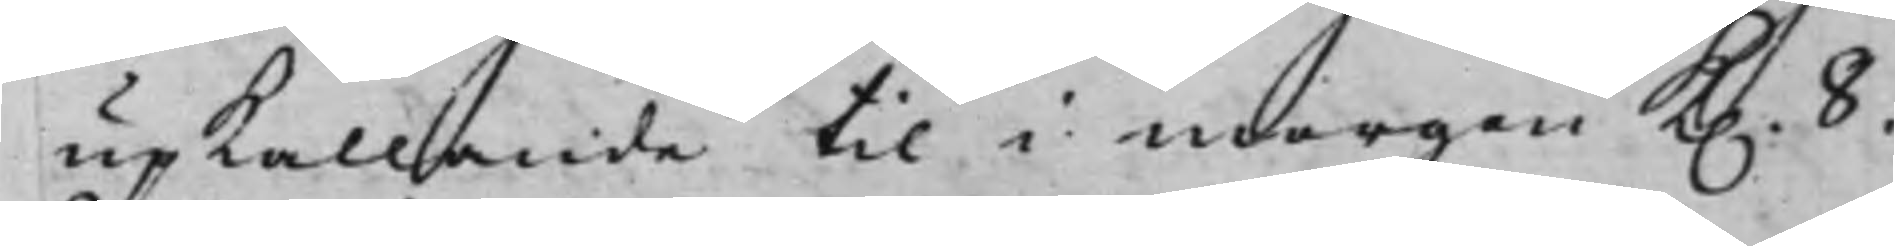upkallande til i morgon K. 8.
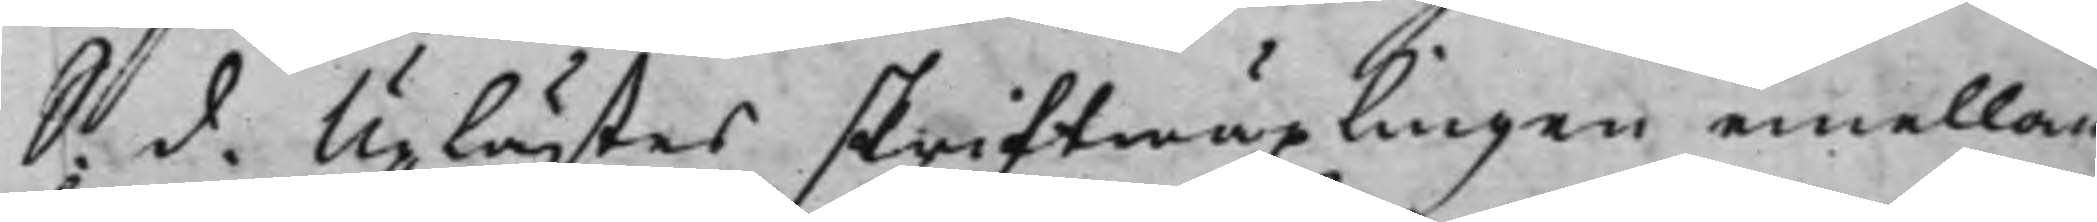S. d. Uplästes skriftwäxlingen emellan
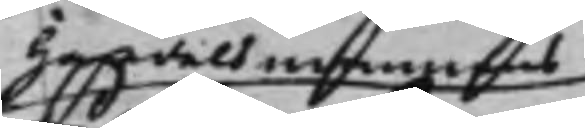Handelsmannens
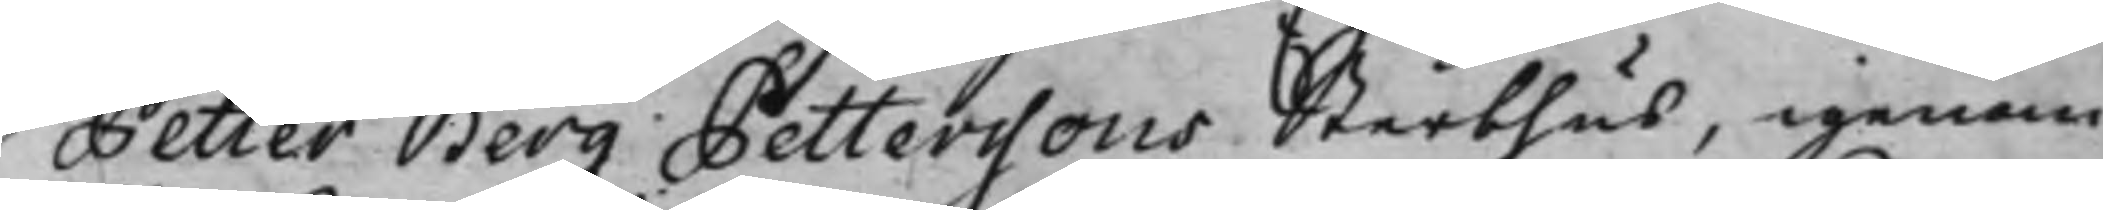Petter Berg Petterssons Sterbhus, igenom
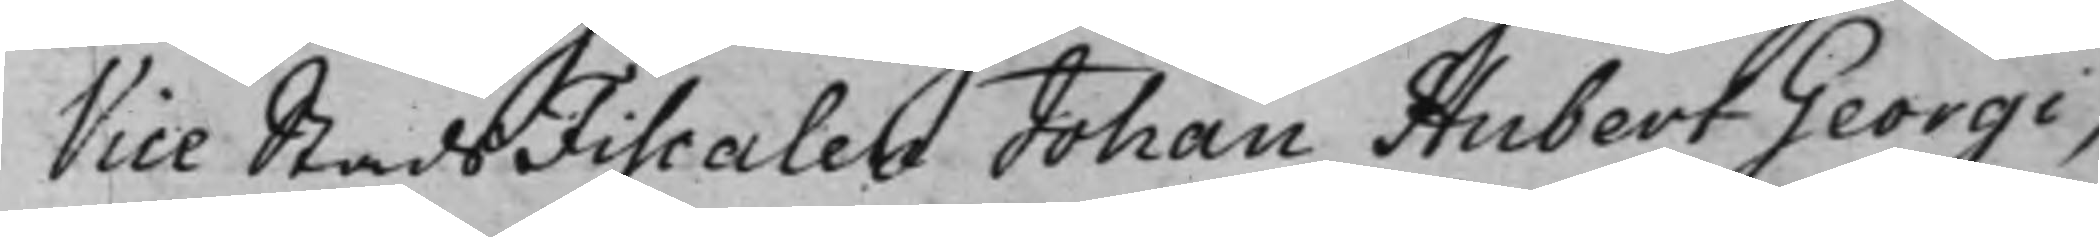Vice StadsFiscalen Johan Hubert Georgi,
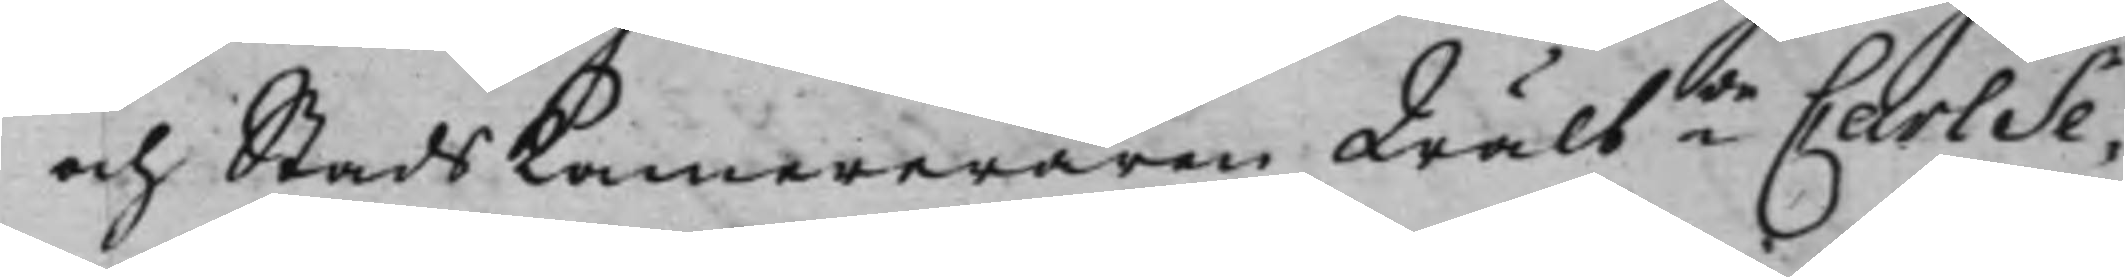och StadsKamereraren Wälbde Carl Se¬
